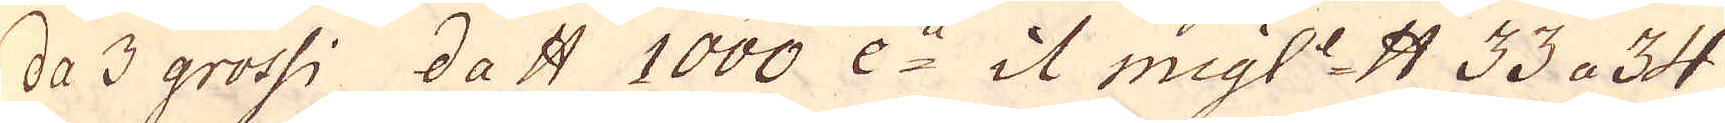da 3 grossi da skålpund 1000 e:a it migl:e skålpund 33 a 34
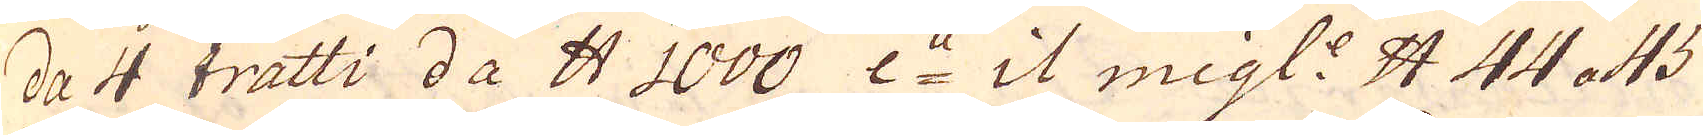da 4 tratti da skålpund 1000 e:a it migl: skåpund 44 a 45
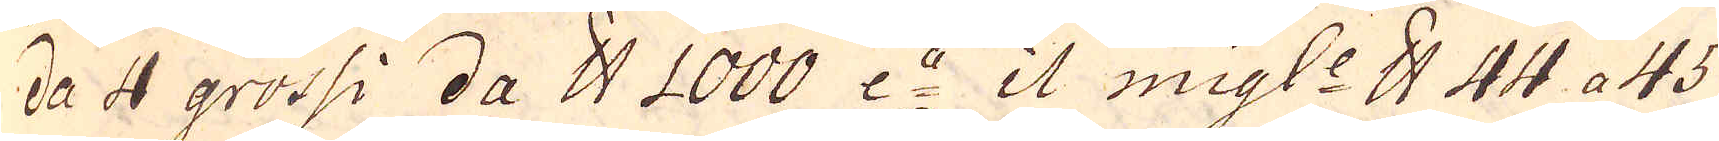da 4 grossi da skålpund 1000 e:a il migle skålpund 44 a 45
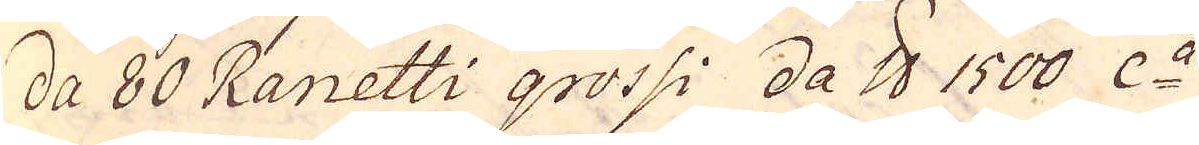da 80 Ranetti grossi Da skålpund 1500 c:a
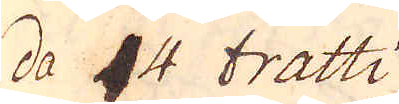da 4 tratti
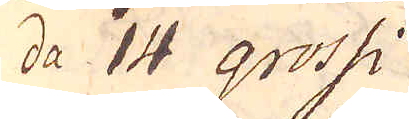da 14 grossi
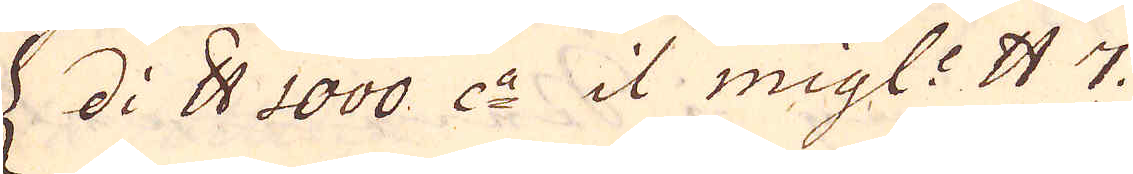h di skålpund1000 da it migl:r kåpn 7.
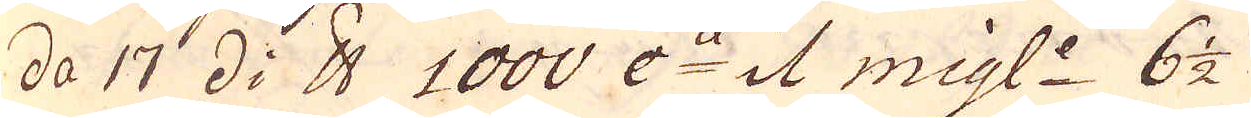da 17 di skålpund 1000 0:de i1 migl:r 6 1/2
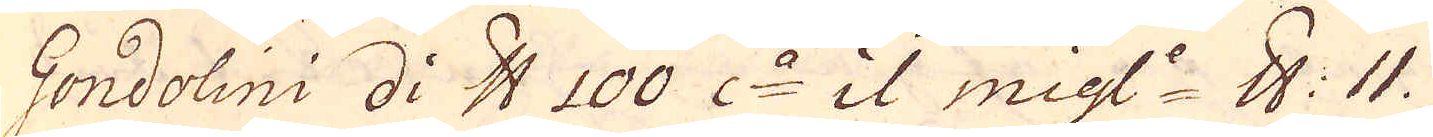Gondolini di skålpund 100 0r it migl:r 8. 11.
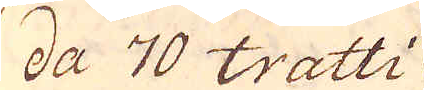da 70 tratti
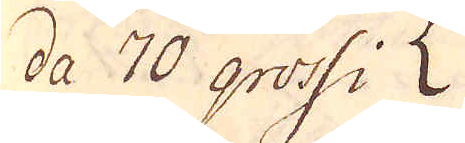da 70 grossi 
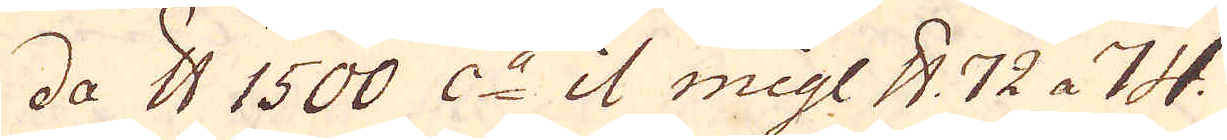da skålpund 1500 c:a it migl skålpund 72 a 74.
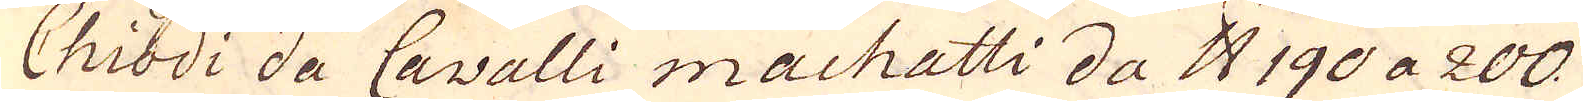Chiodi da Cavalli machatti da skålpund 190 a 200
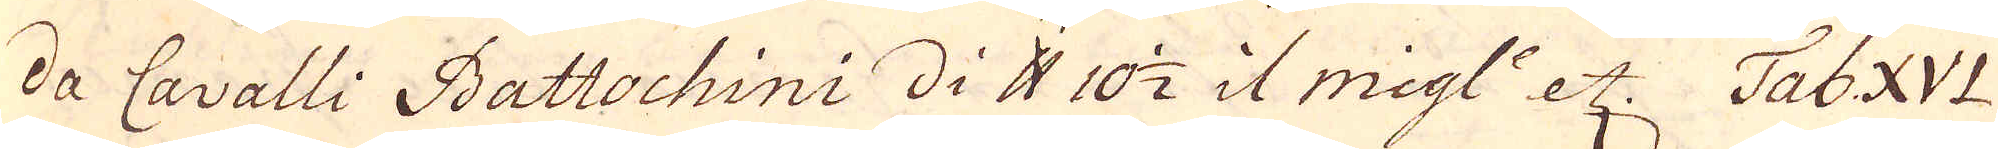da Cavalli Battochini di skålpund 10 1/2 il migl: etc. Tab XVI
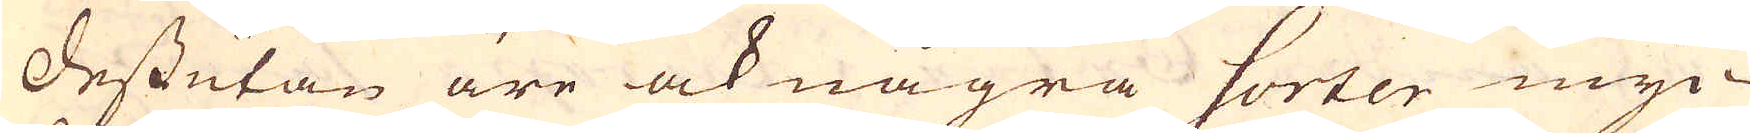Dessutan äre ock några sorter myc-
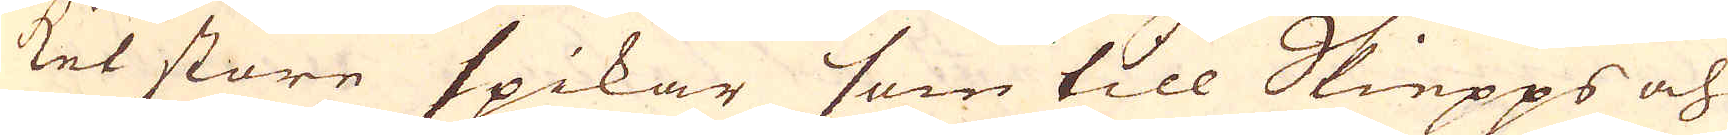ket store spikar som till Skiepps och
